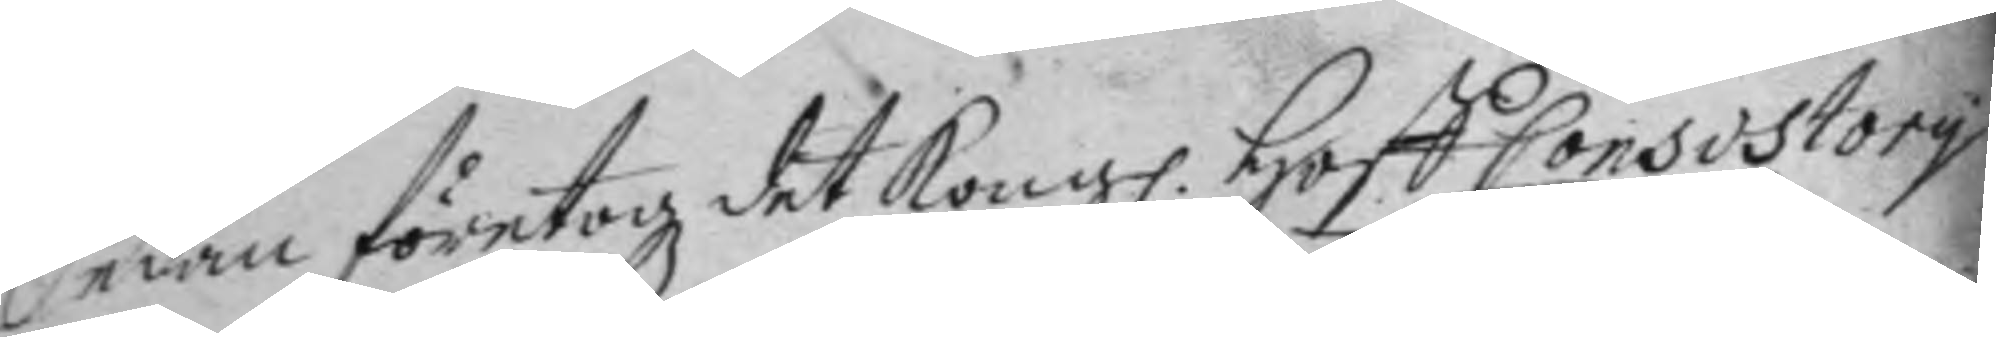Sedan företogz det Kong. Hoff Consistory 
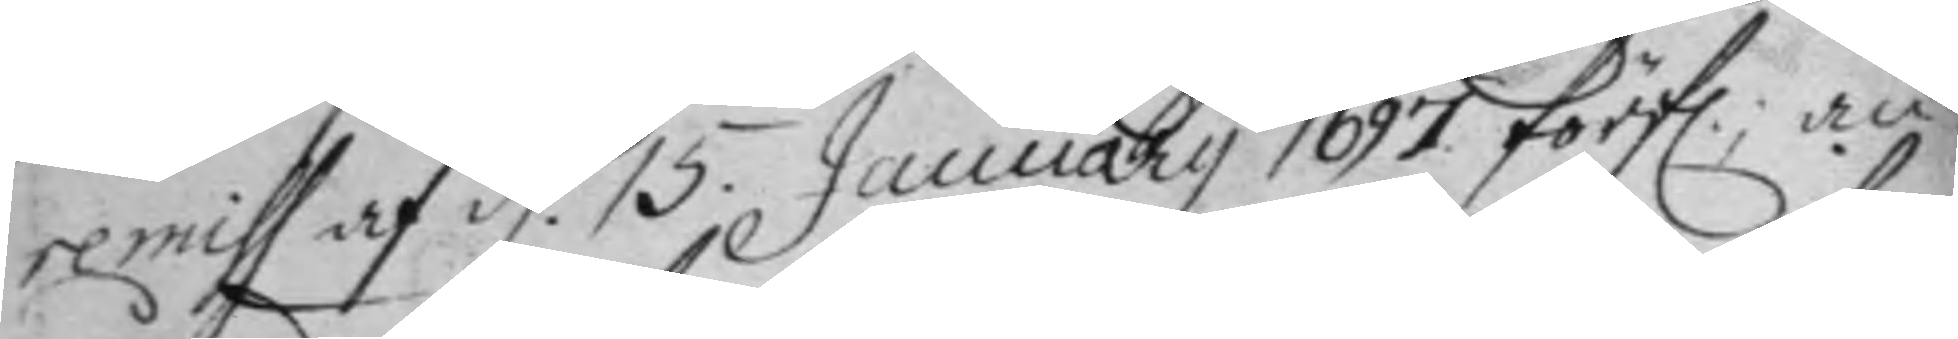remiss af d. 15 January 1697 förfl: an¬ 
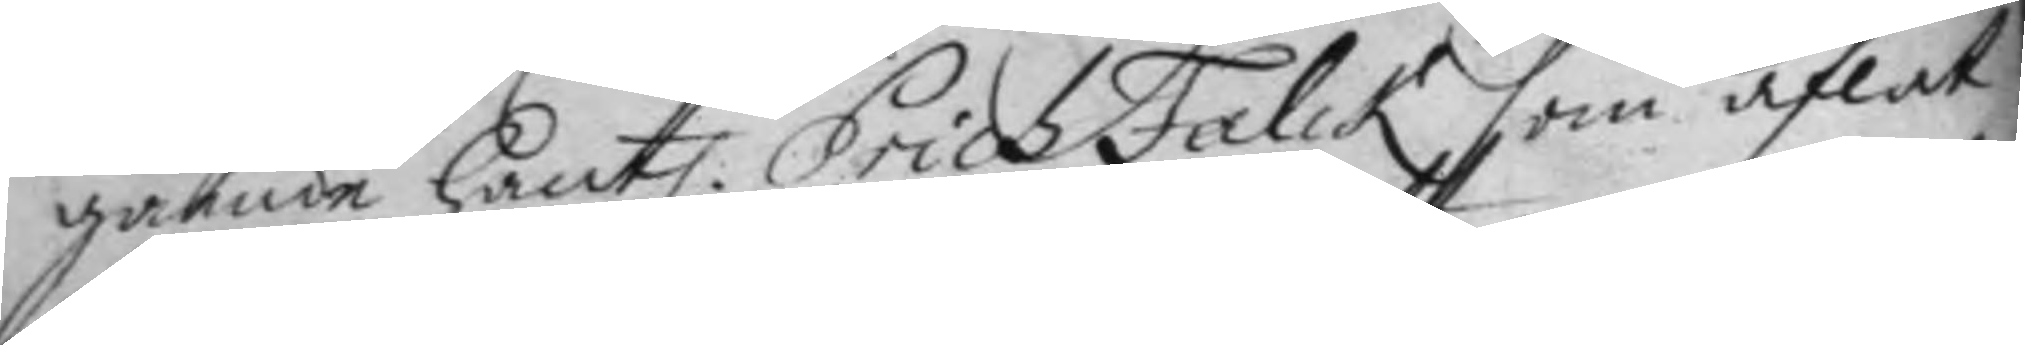gående hantl: Erich Falck som aflat 
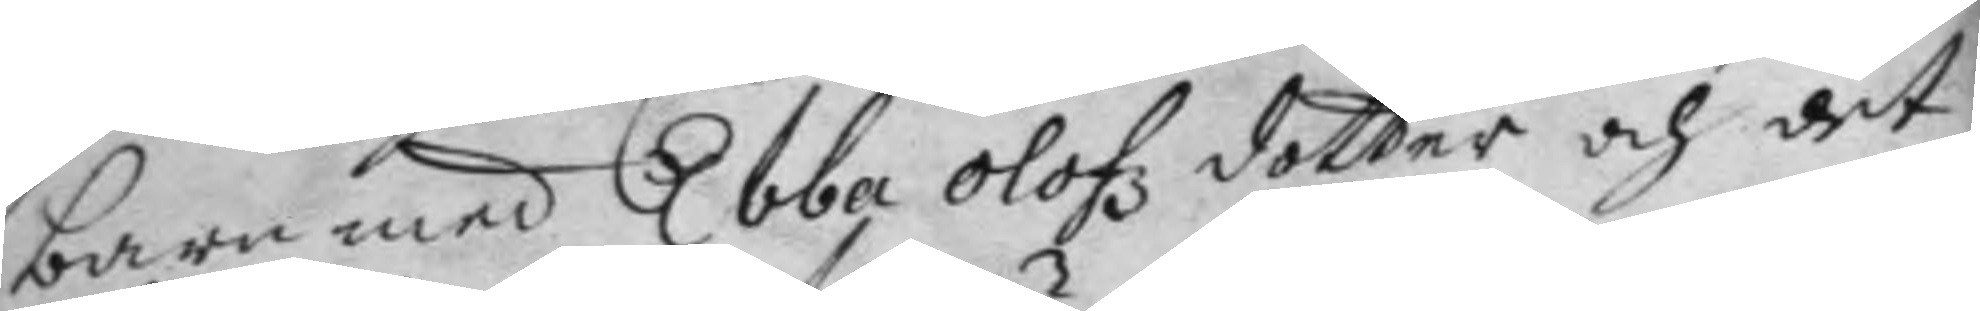barn med Ebba Olofz dotter och det
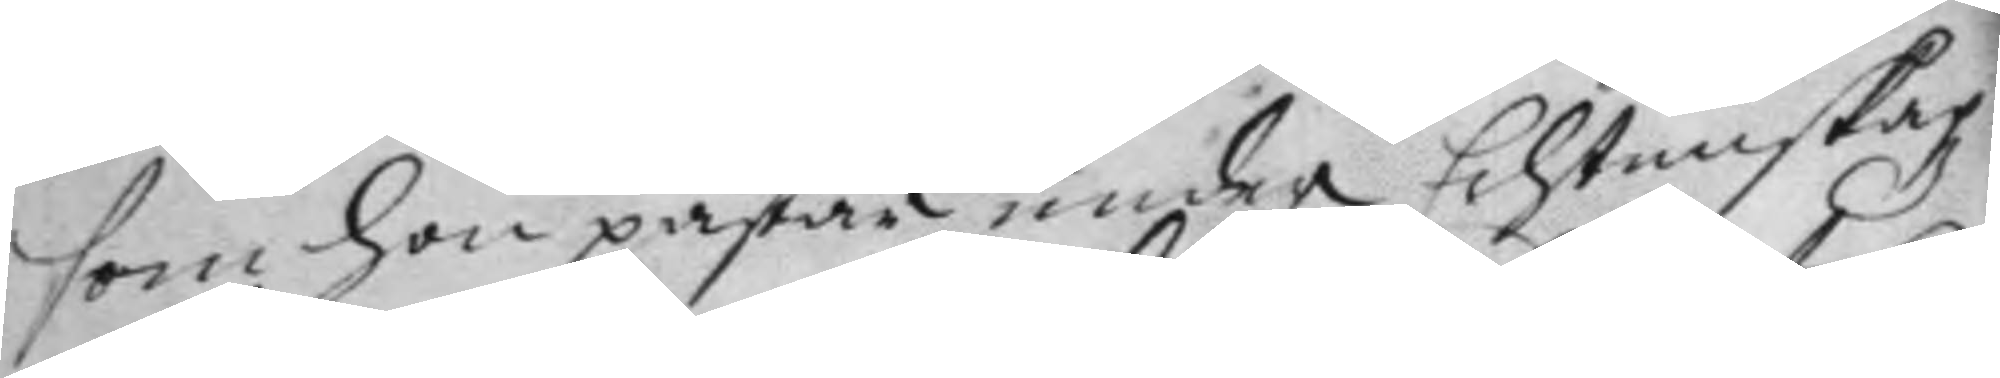som hon påstår under Echtenskapz
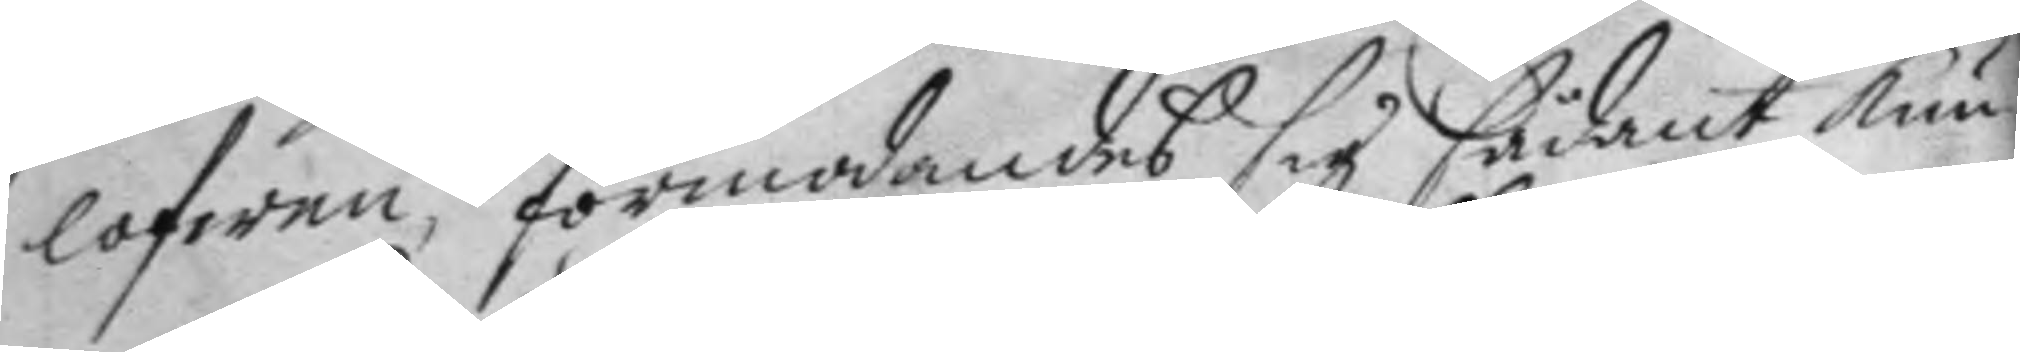lofwen, förmodandes sig sådant kun¬
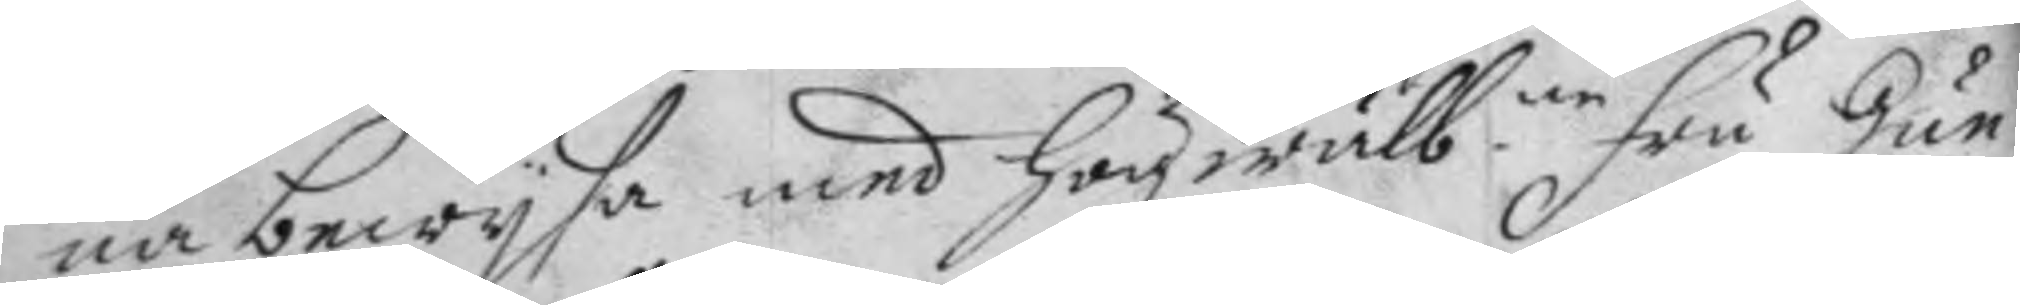na bewysa med Högwälb:ne fru Gun¬ 
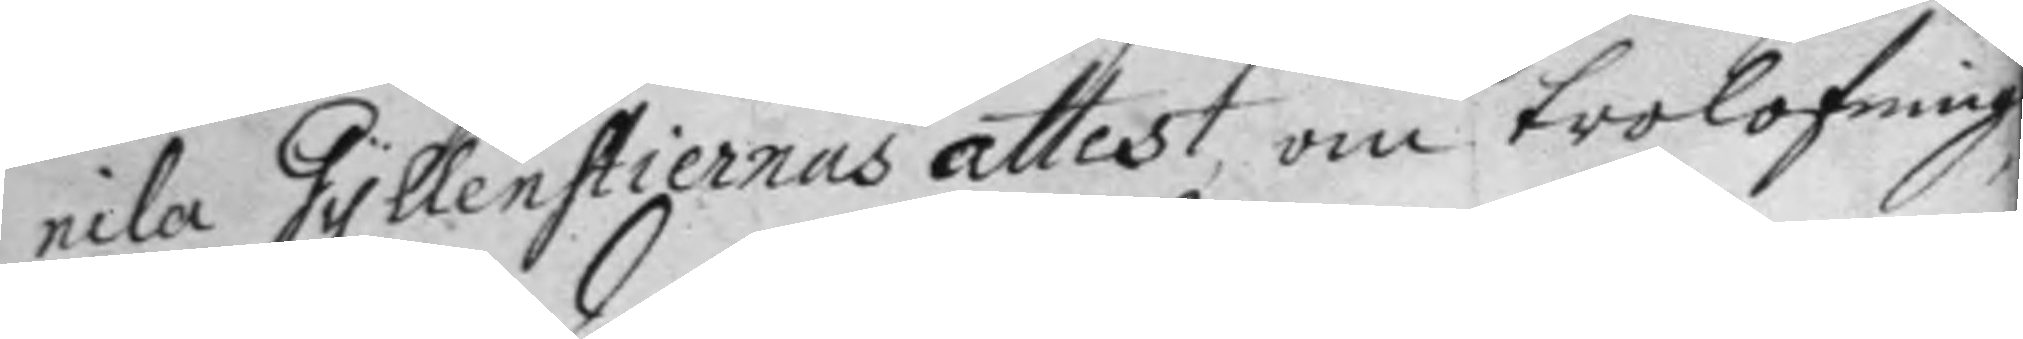nila Gyllenstiernas attest, om trolofning,
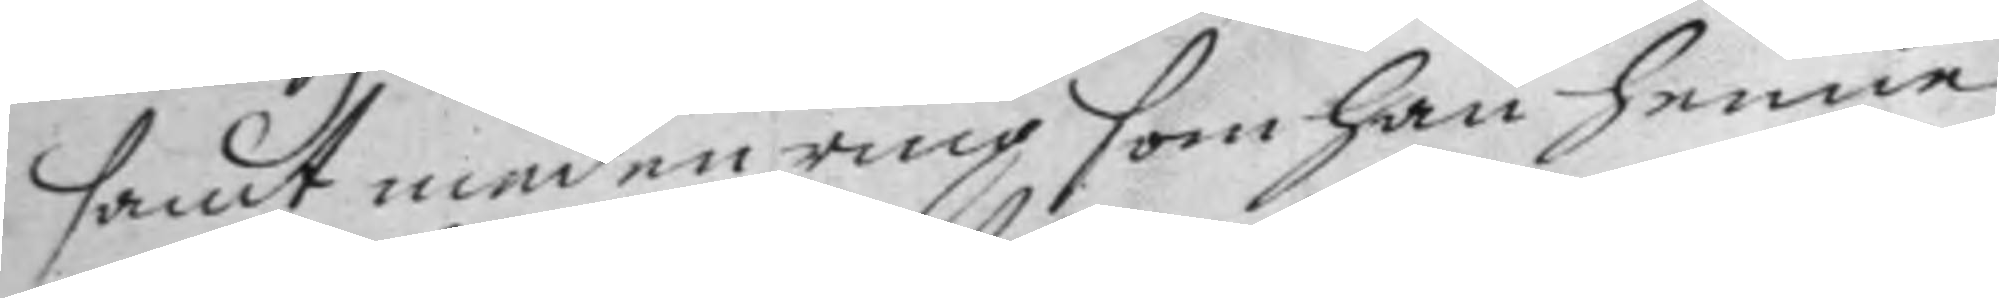samt med en ring som han henne
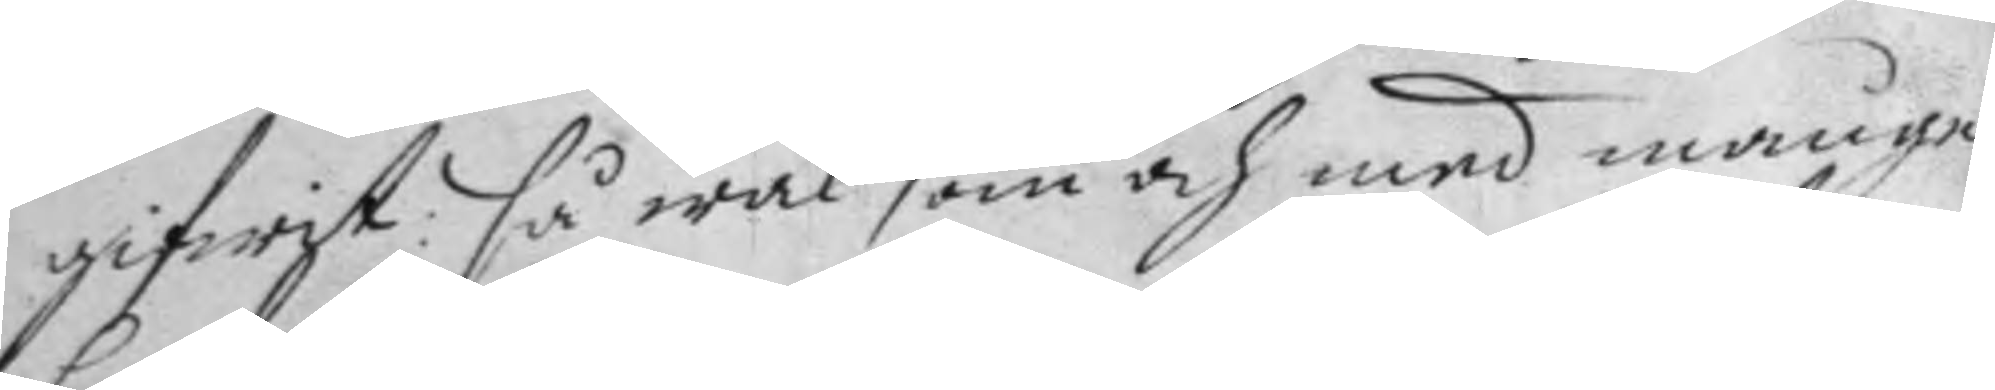gifwit; så wäl som och med månge
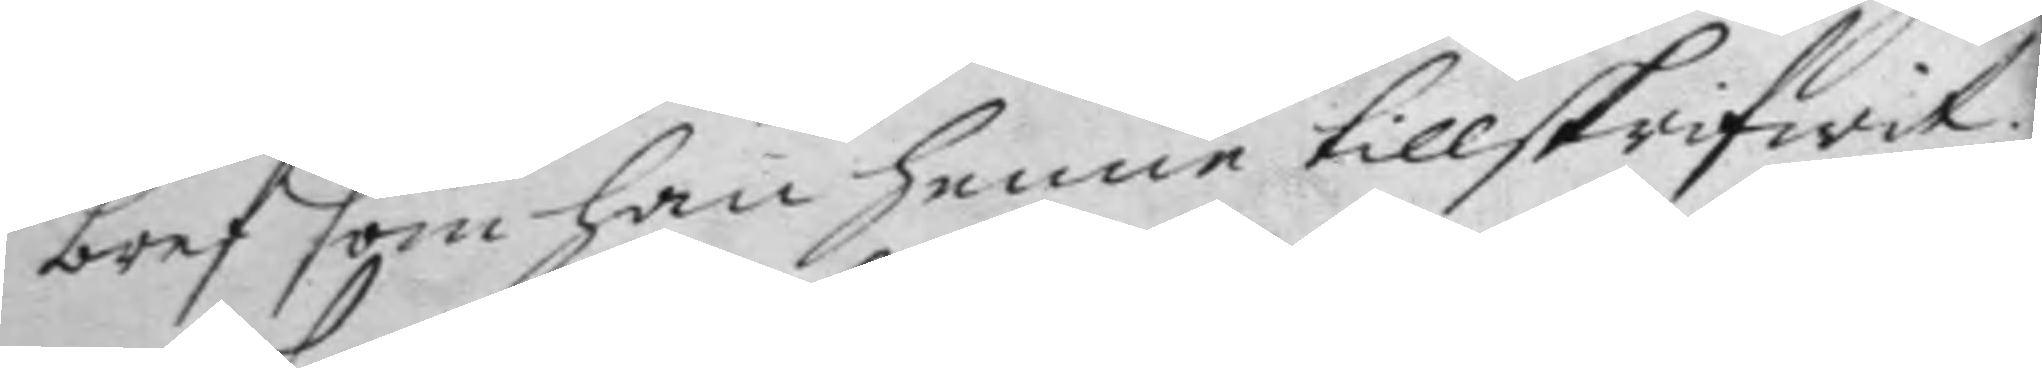bref som han henne tillskrifwit;
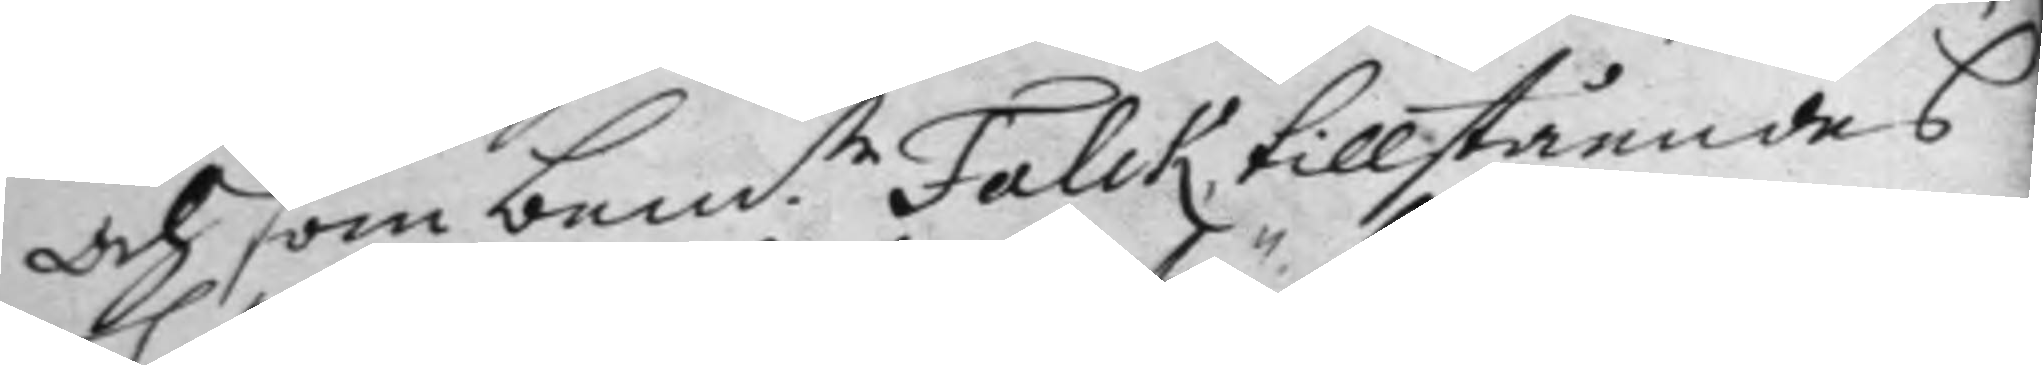och som bem:te Falck tillståendes 
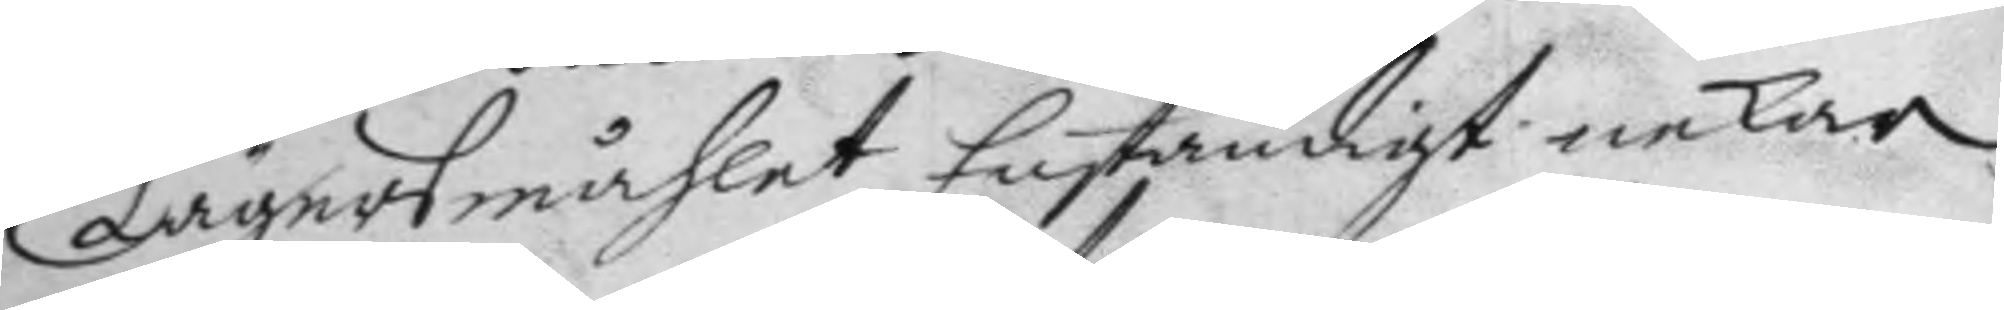Lägersmåhlet, Enständigt nekar
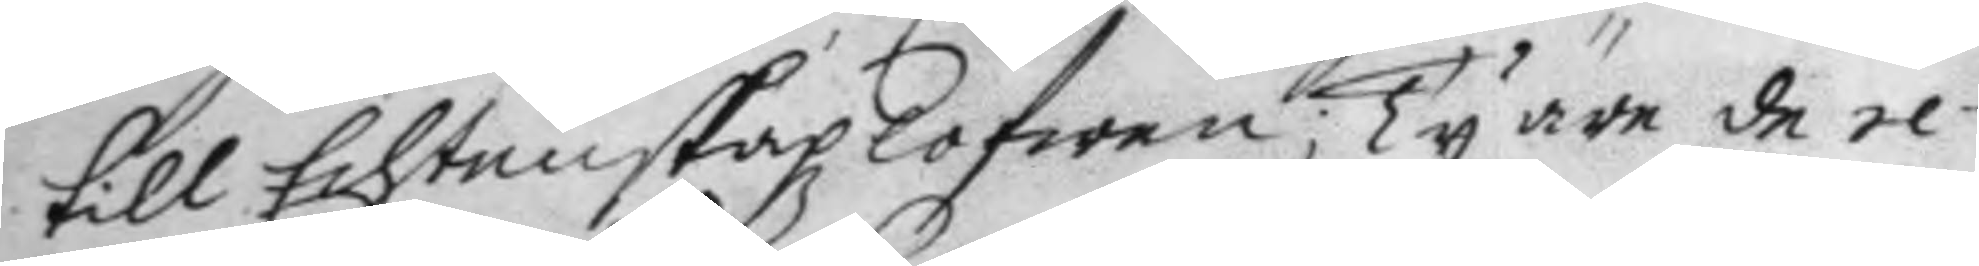till Echtenskapz lofwen; Ty äre de re¬
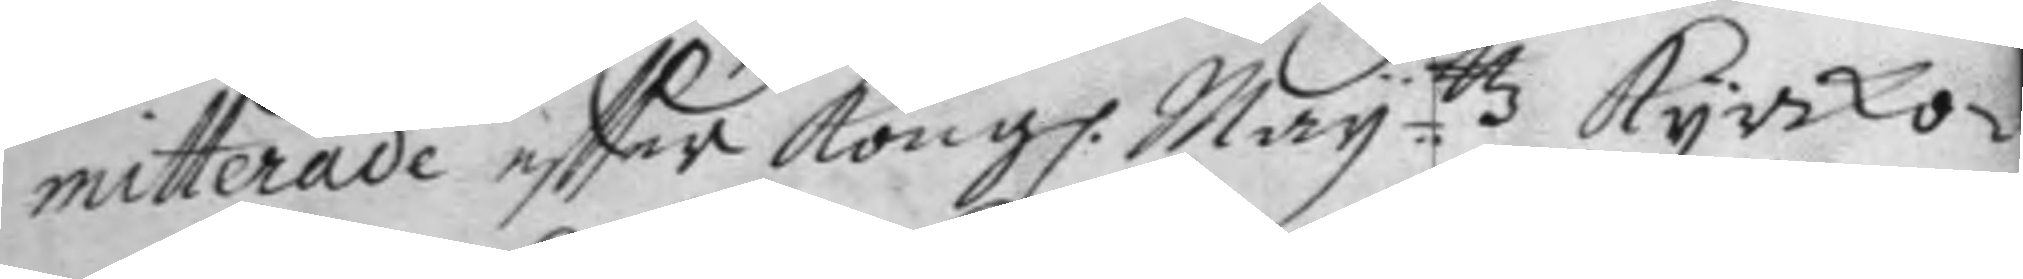mitterade eftter Kong. Mayttz Kyrko¬ 
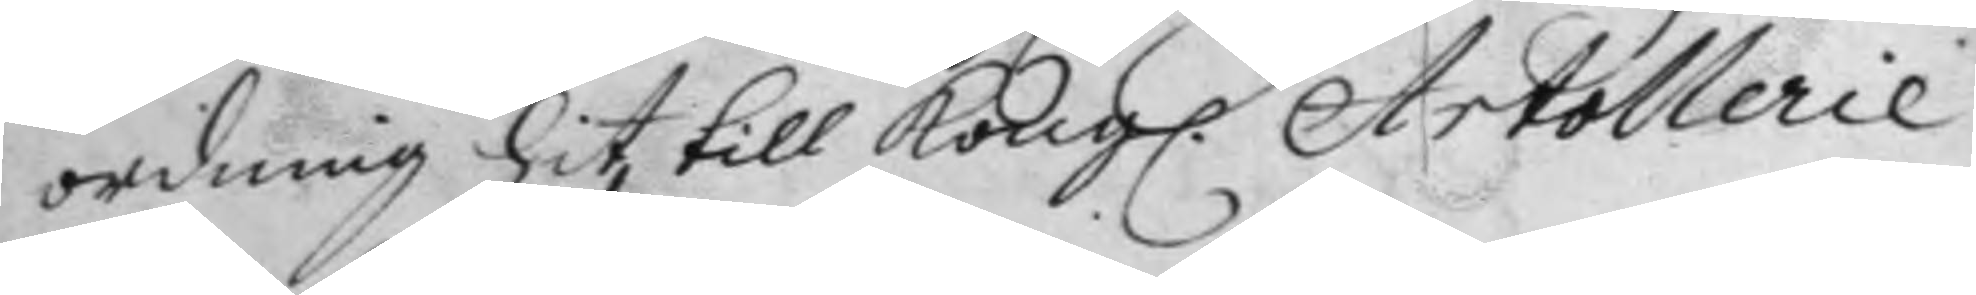ordning hit till Kong. Artollerie 
